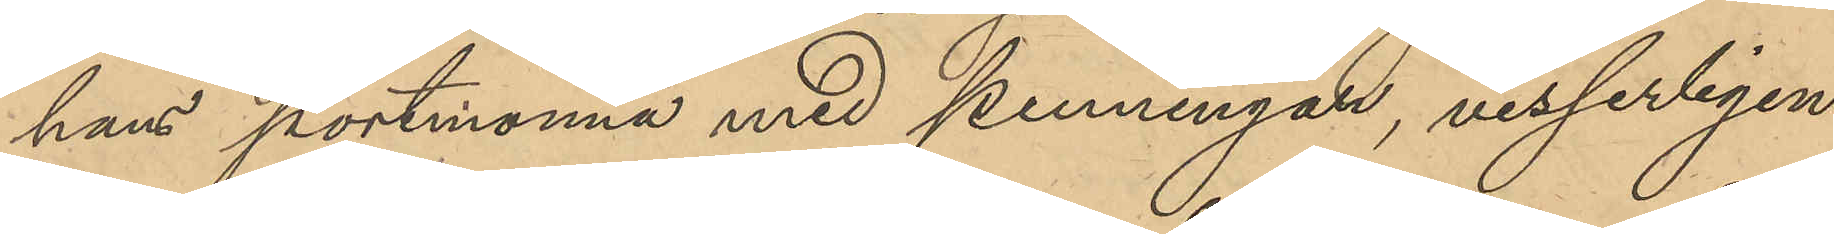hans portmonnä med penningar, visserligen
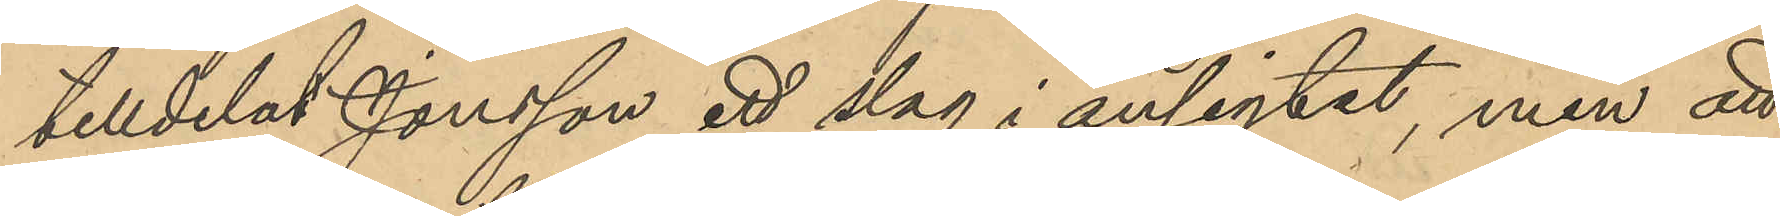tilldelat Jonson ett slag i ansigtet, men att
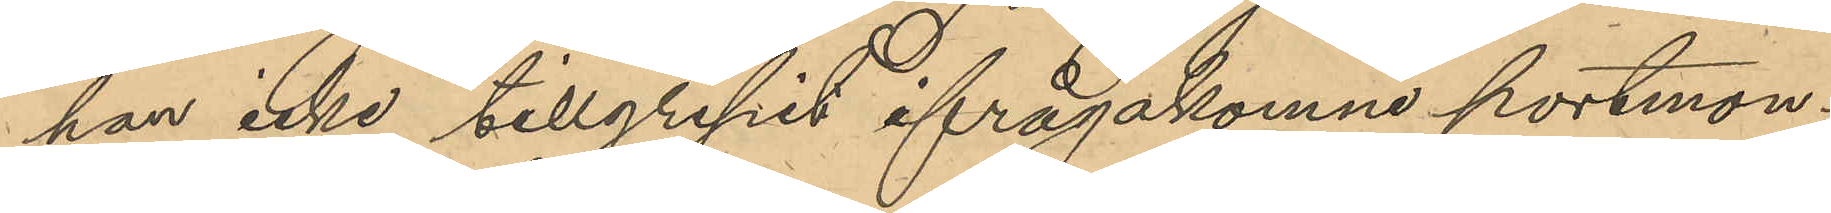han icke tillgripit ifrågakomne portmon¬
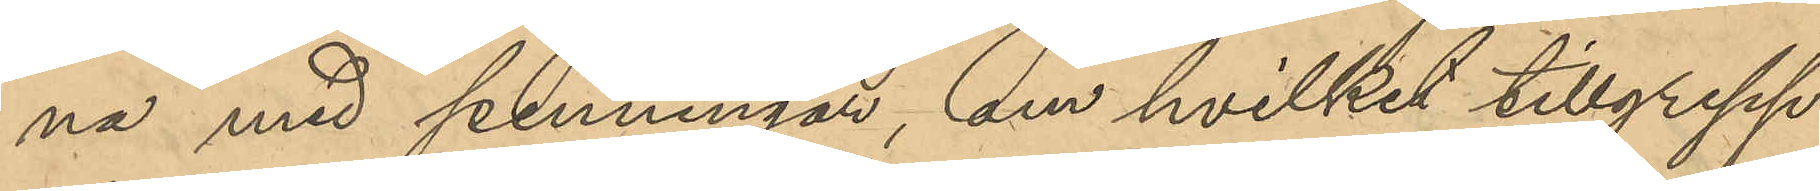na med penningar, om hvilket tillgrepp
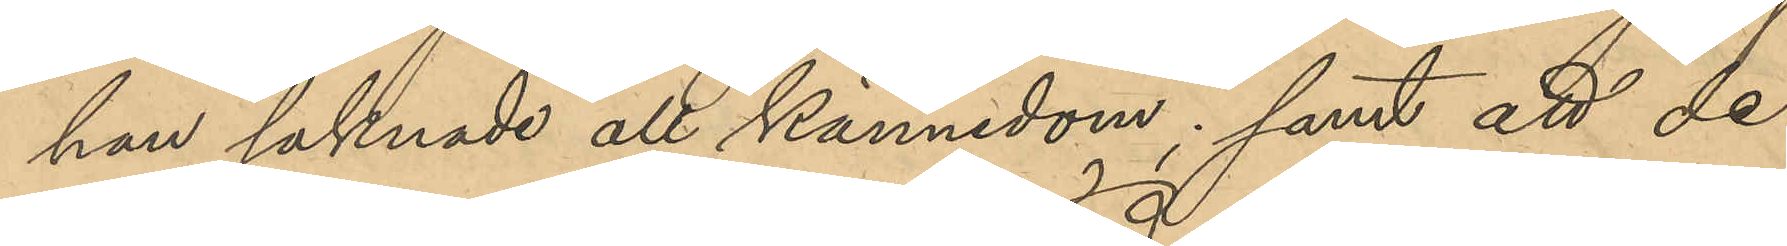han saknade all kännedom; samt att de
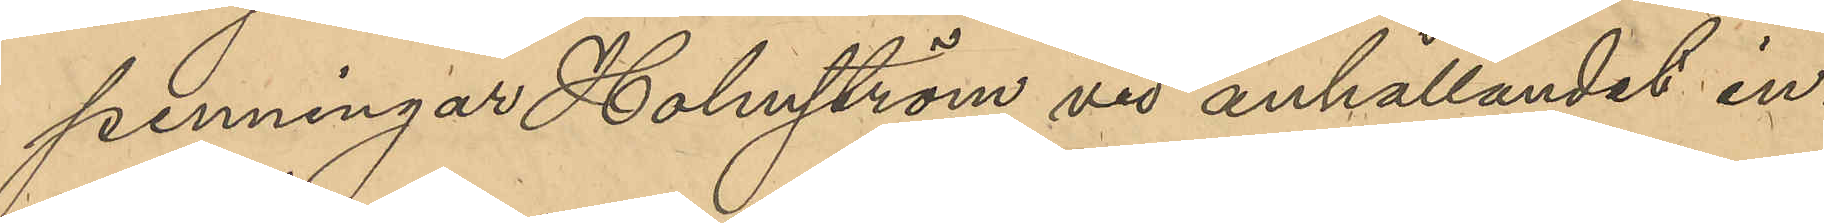penningar Holmström vid anhållandet in¬
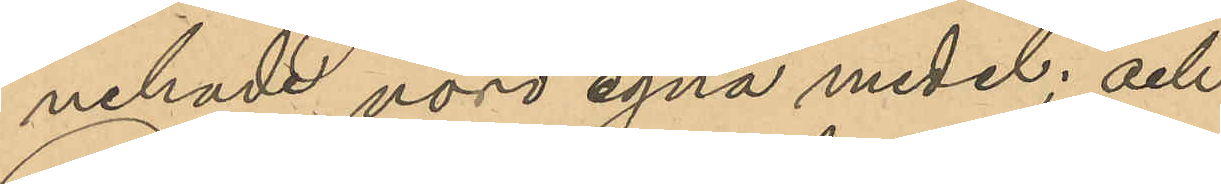nehade, vore egna medel; och
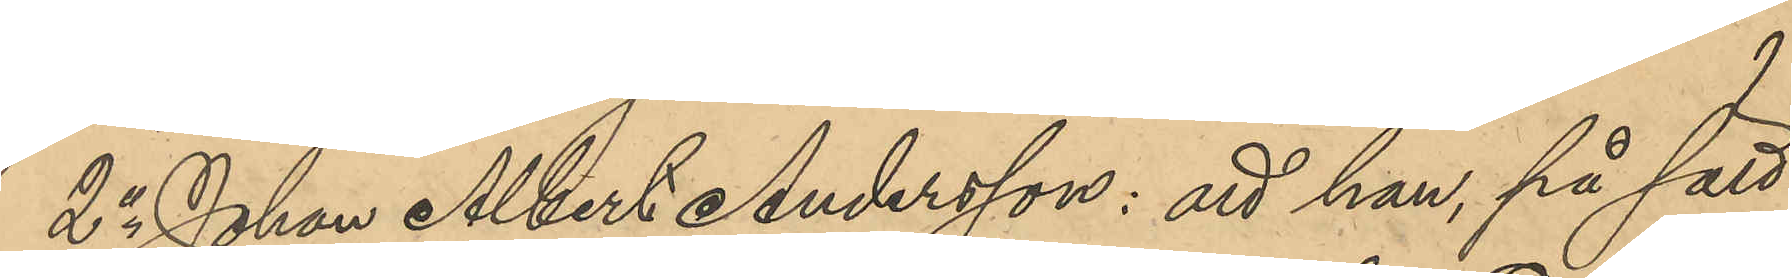2o Johan Albert Anderson: att han, på sätt
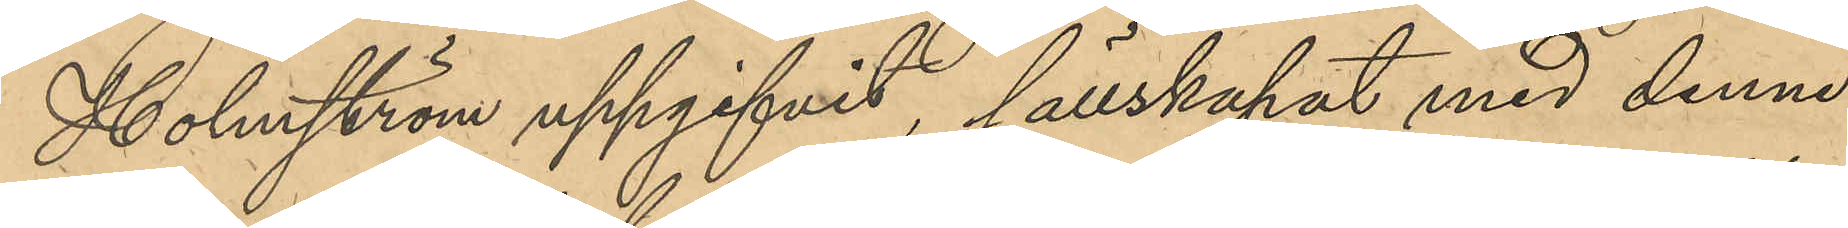Holmström uppgifvit, sällskapat med denne
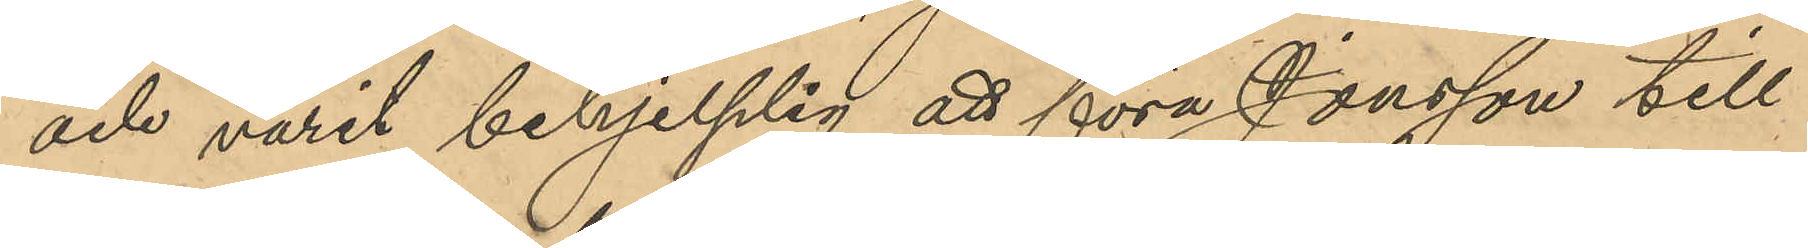och varit behjelplig att föra Jonsson till
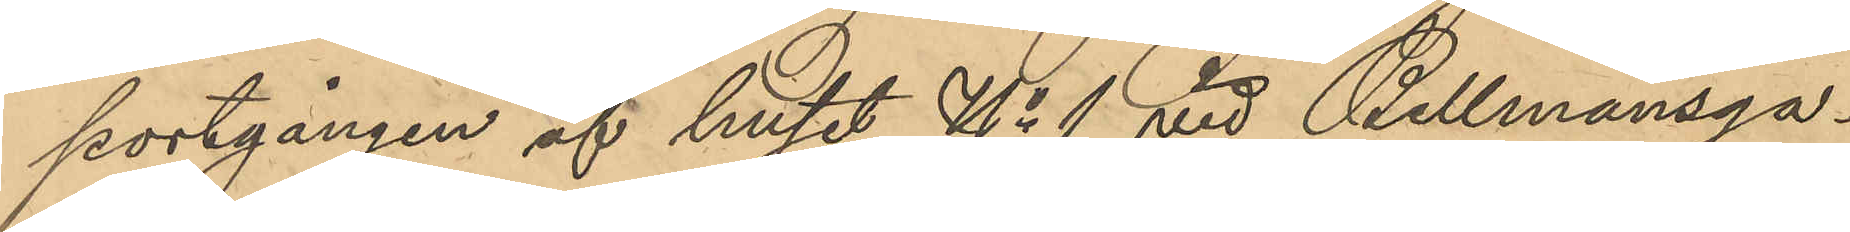portgången af huset No 1 vid Bellmansga¬
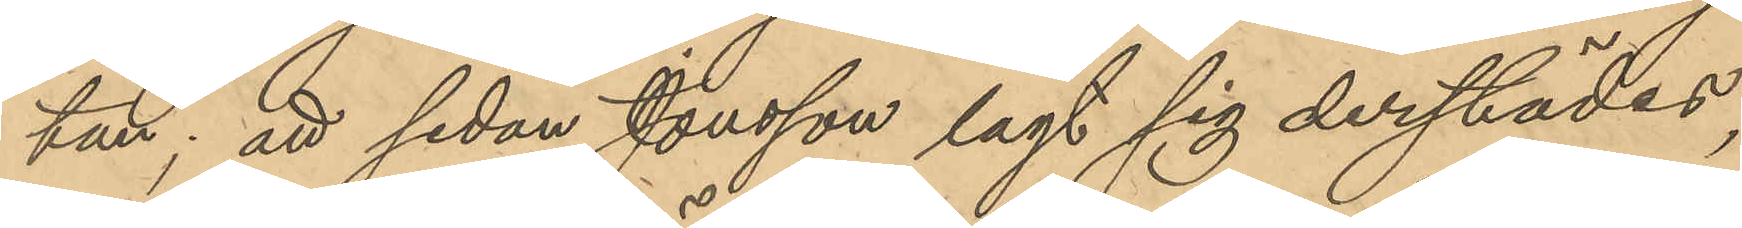tan; att sedan Jonsson lagt sig derstädes,
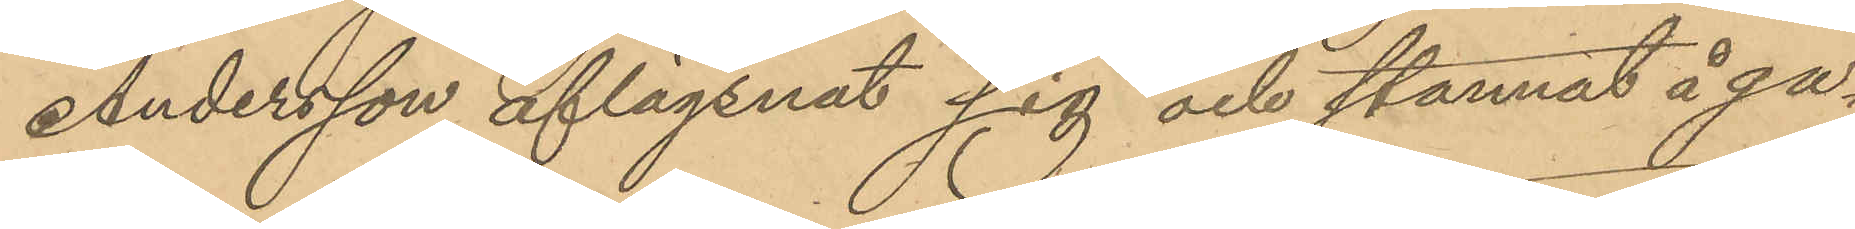Andersson aflägsnat sig och stannat å ga¬
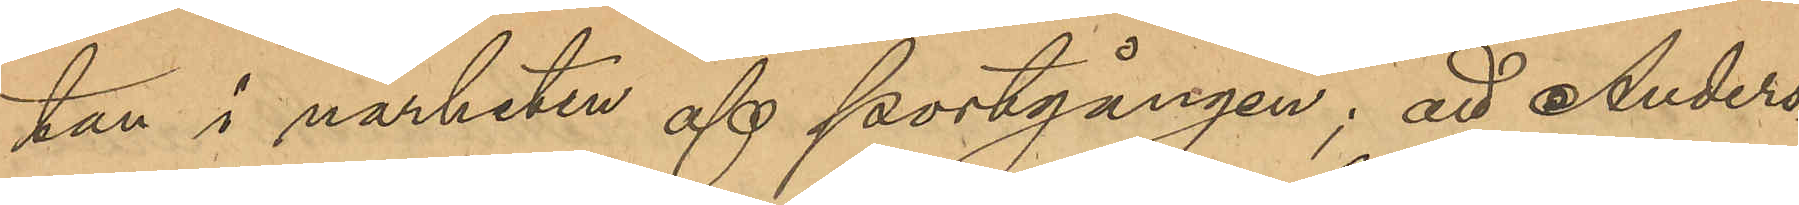tan i närheten af portgången; att Anders¬
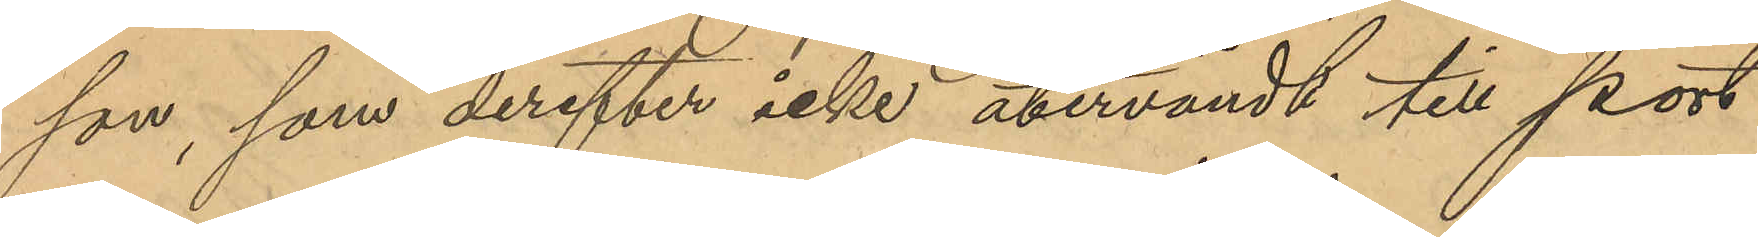son, som derefter icke återvändt till port¬
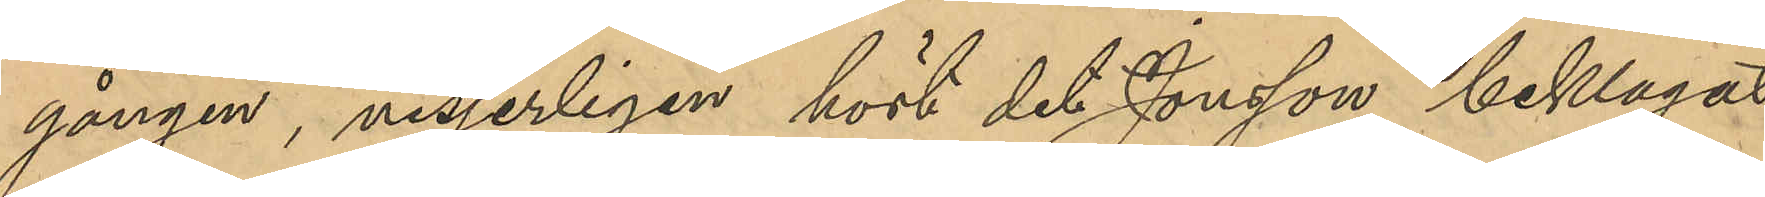gången, visserligen hört det Jonsson beklagat
